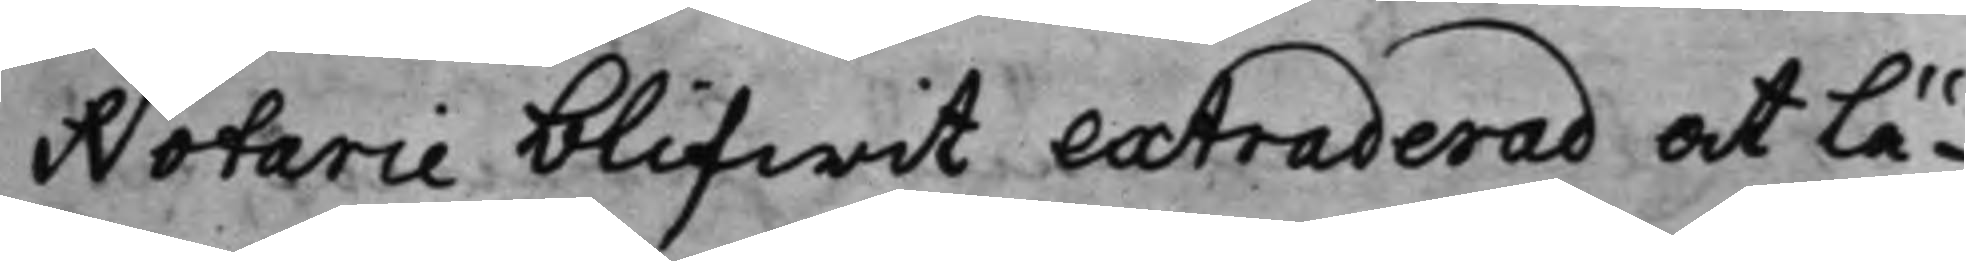Notarie blifwit extraderad at Lä¬
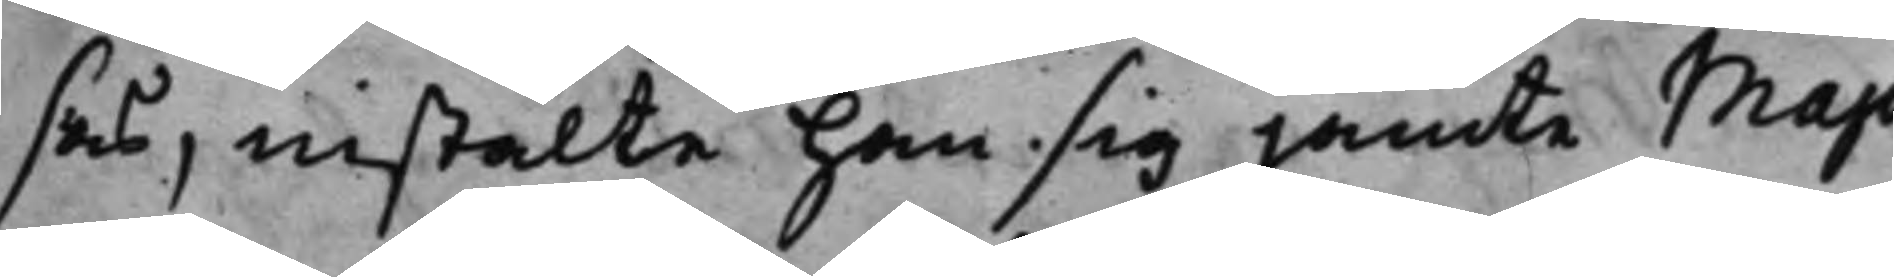sas, instälte han sig jämte Majo¬
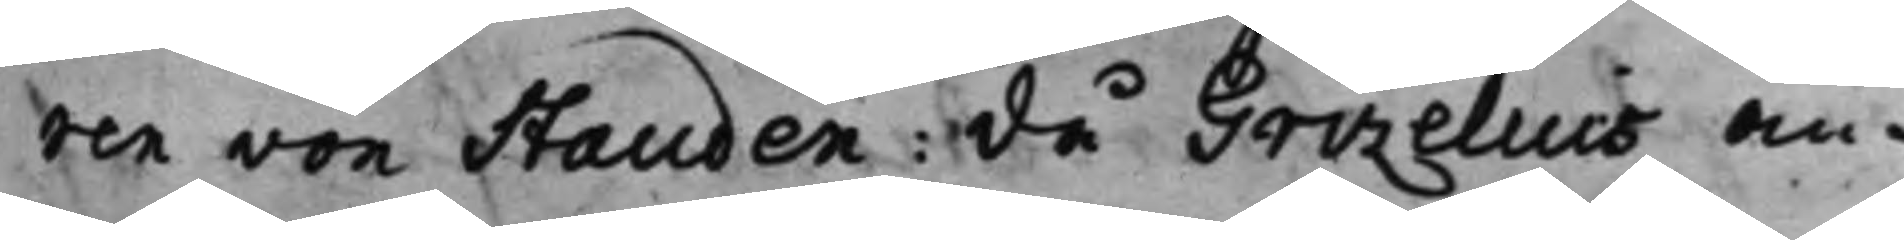ren von Stauden: då Grizelius an¬
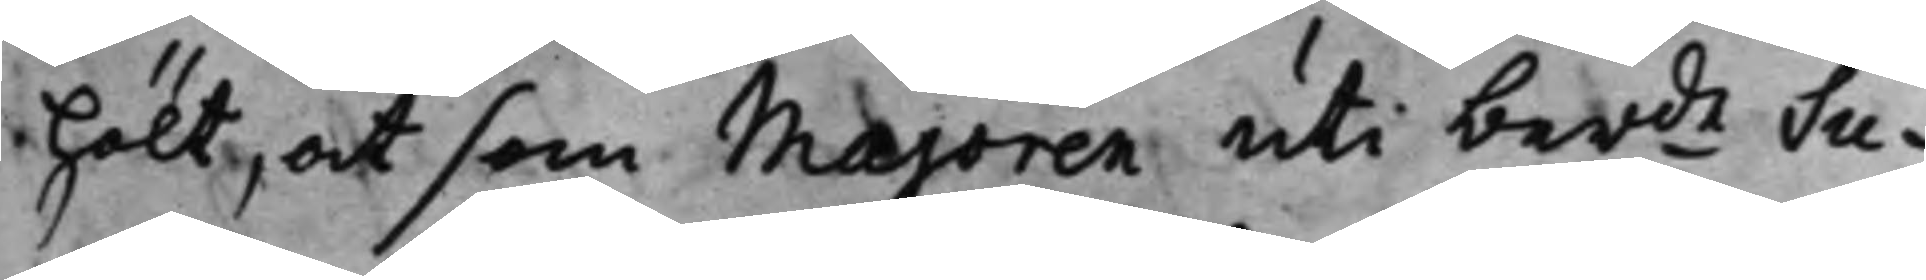hölt, at som Majoren uti berde Su¬
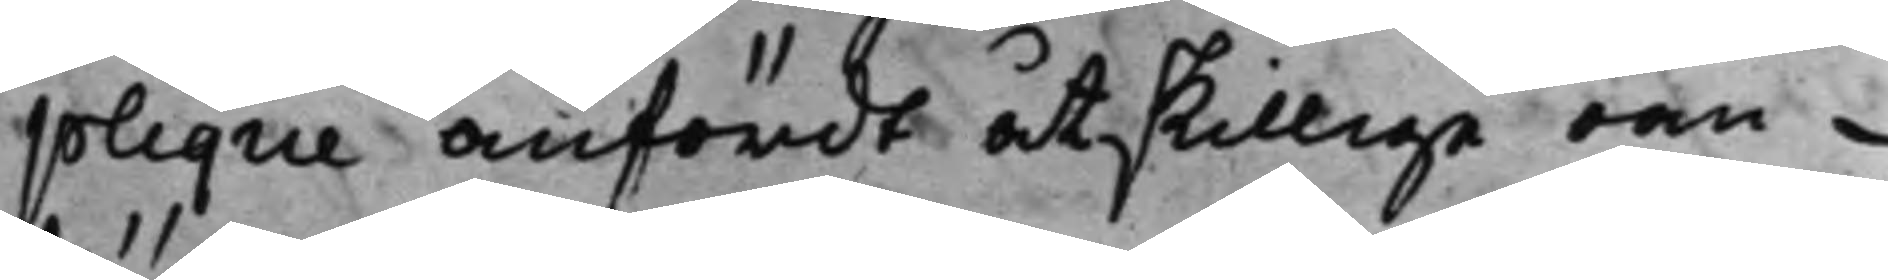plique anfördt åtskillige oan¬
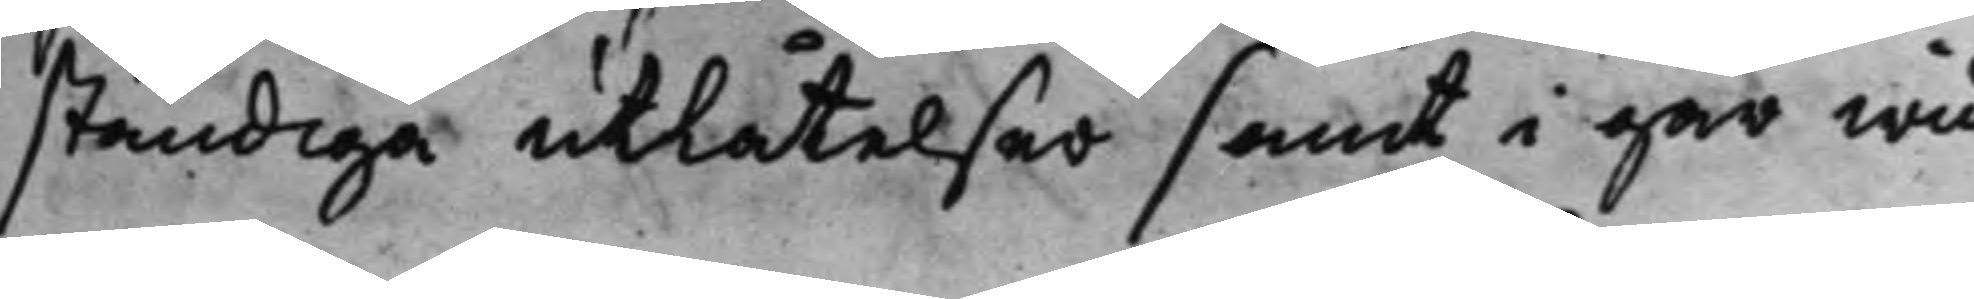ständiga utlåtelser samt i går wid
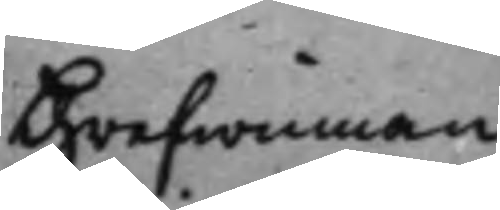Grefwinnan
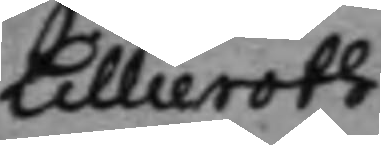Lillieroth
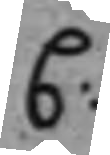C:
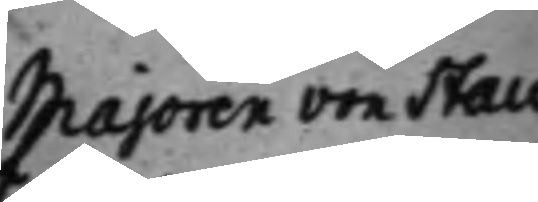Majoren von Stau
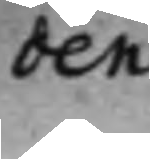den
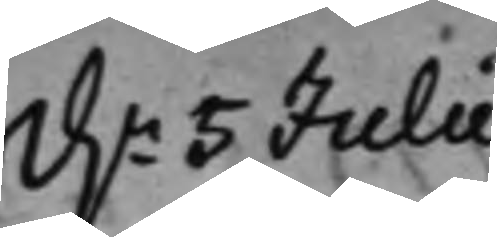d.n 5 Julii
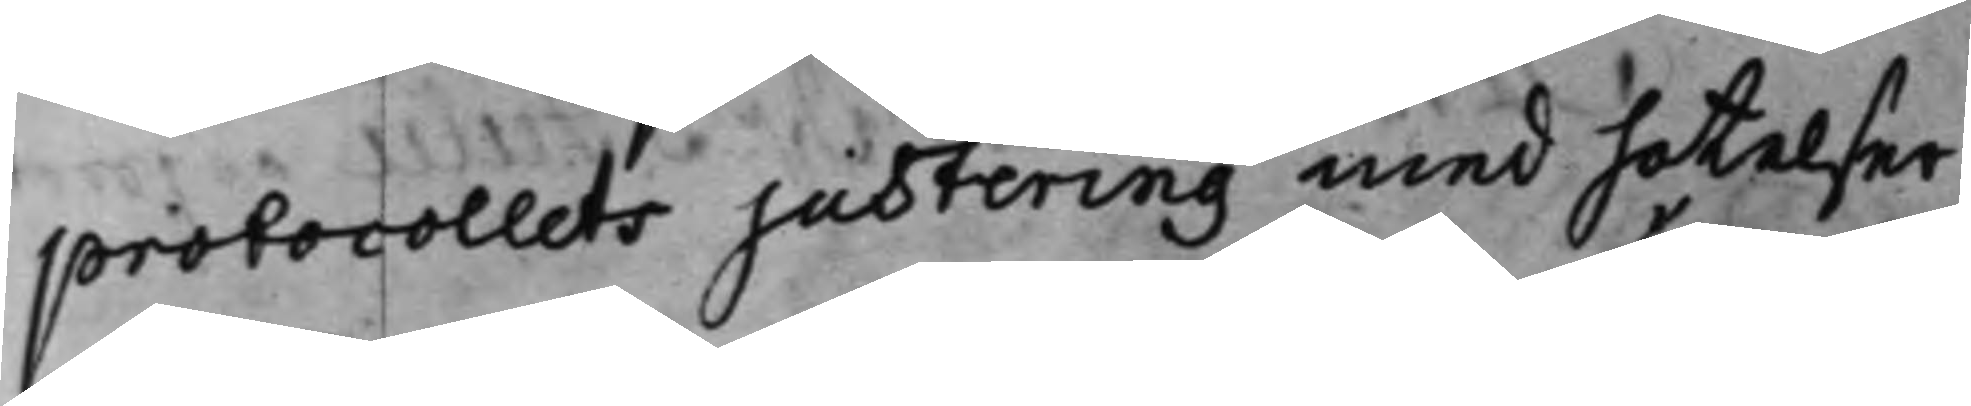protocollets justering med hotelser
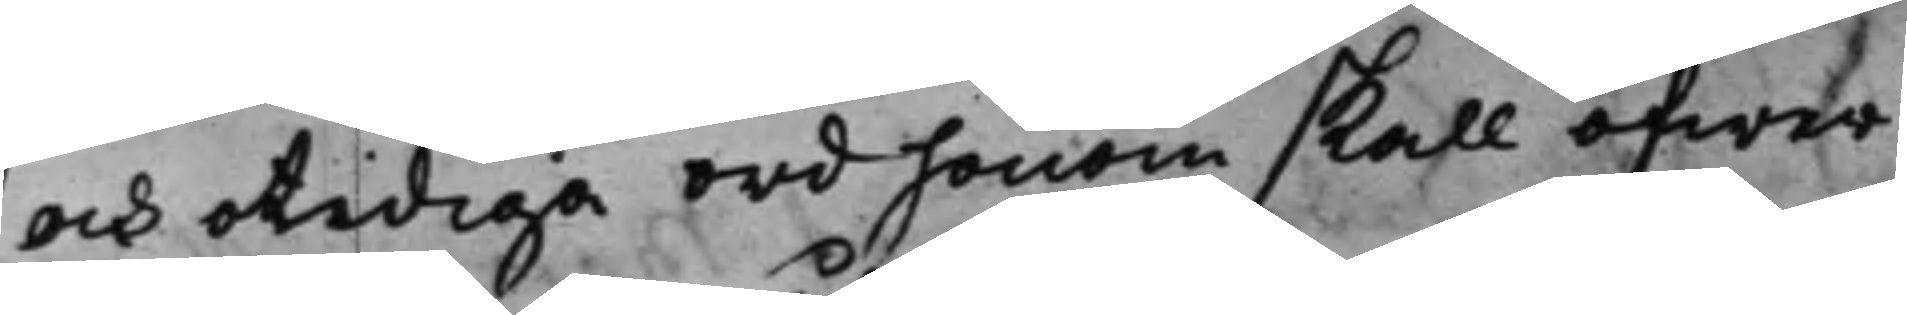och otidiga ord honom skall öfwer¬
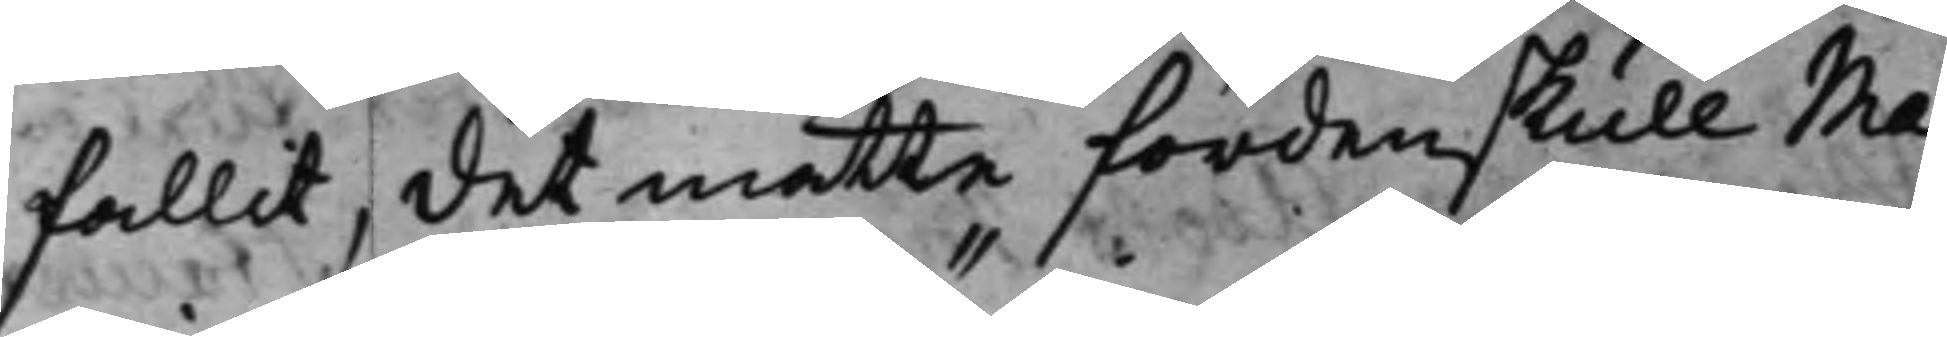fallit, det måtte fördenskull Ma¬
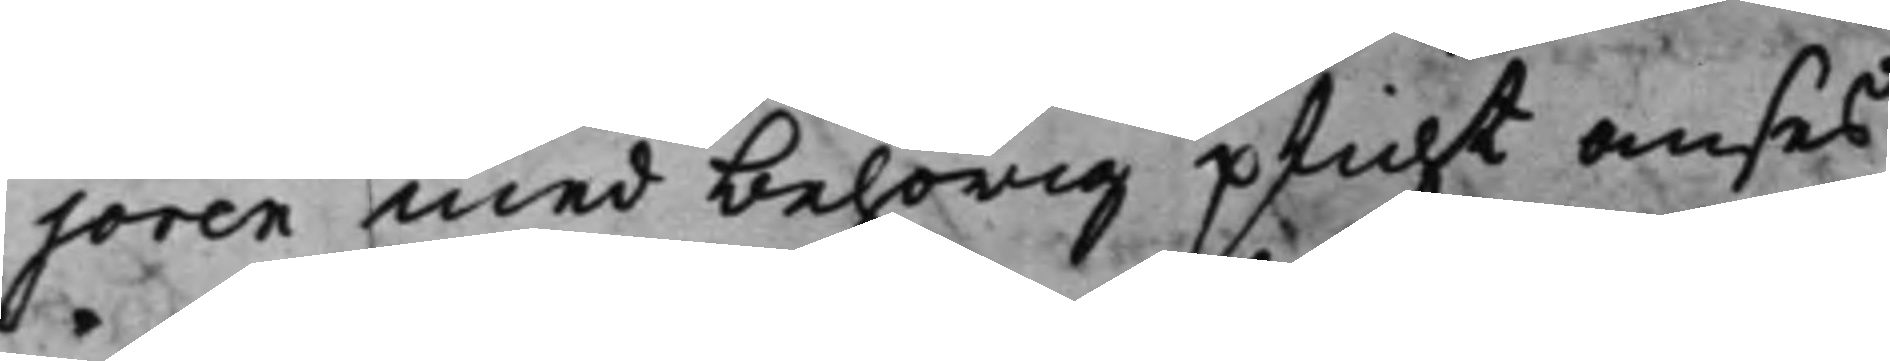joren med behörig plicht anses
